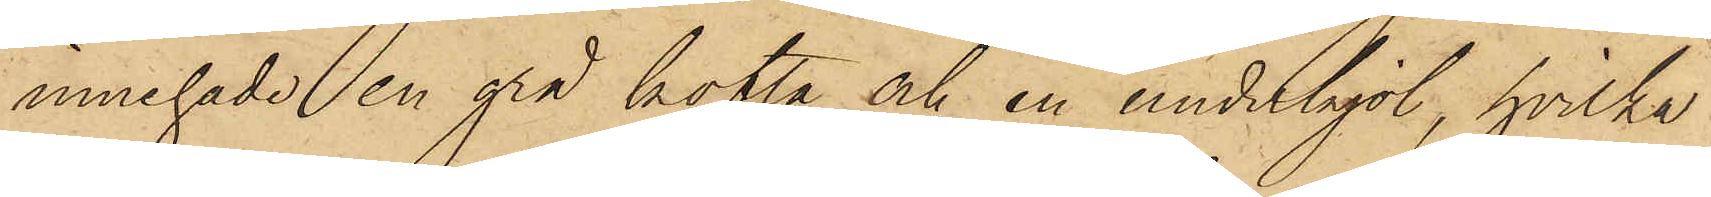innehade en grå kofta och en underkjol, hvilka
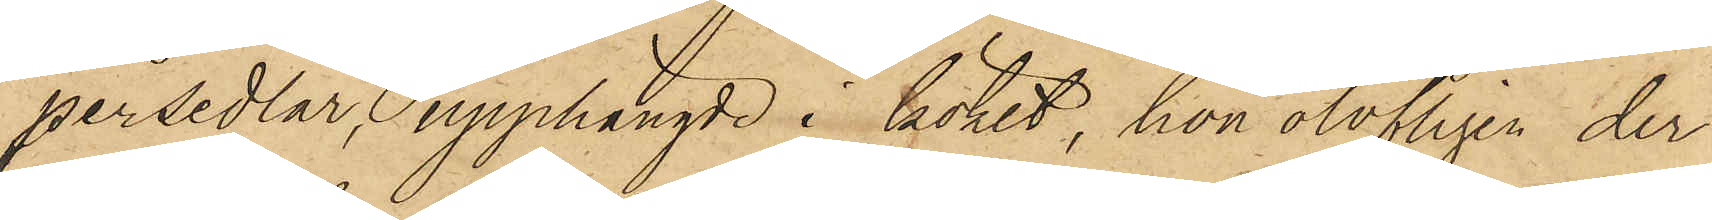persedlar, upphängde i köket, hon olofligen der
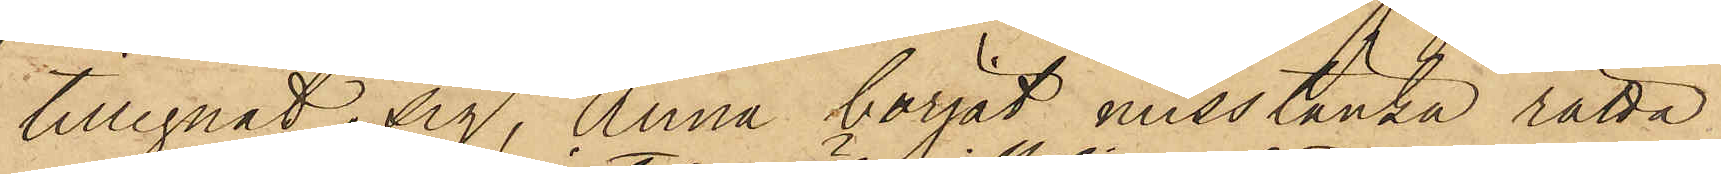tillegnat sig, Anna börjat misstänka rätta
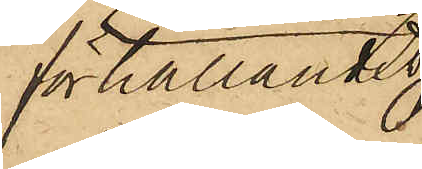förhållande
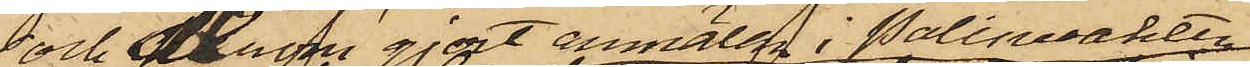och derom gjort anmälan i Polisvakten;
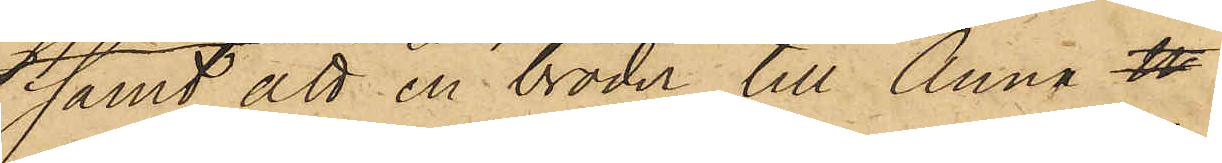samt att en broder till Anna n
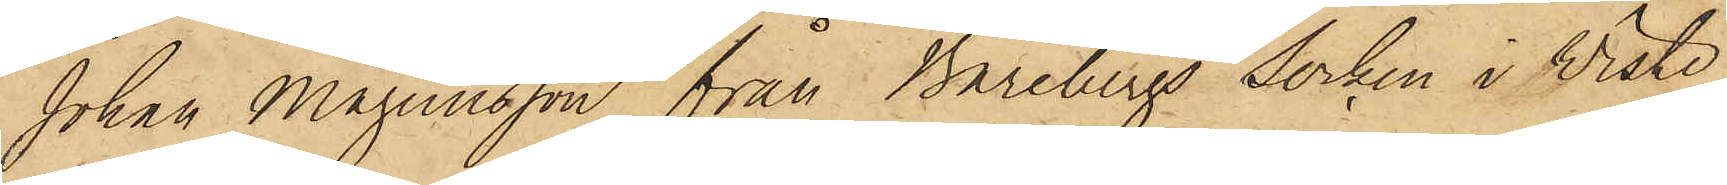Johan Magnusson från Bärebergs Socken i Wiste
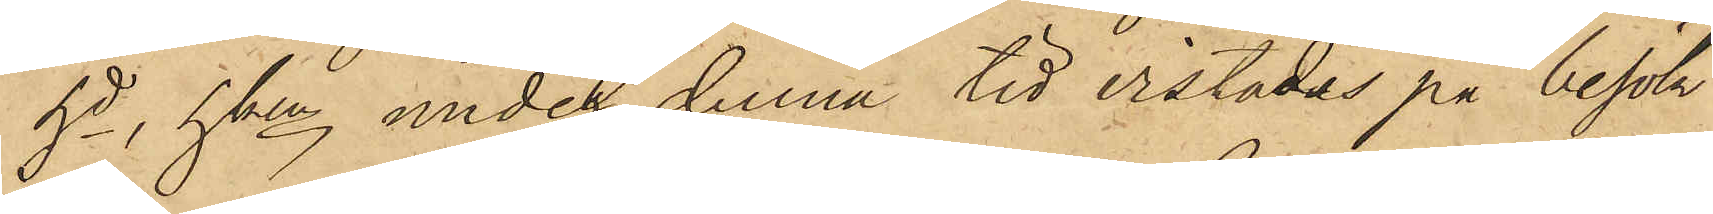hd, hken under denna tid vistades på besök
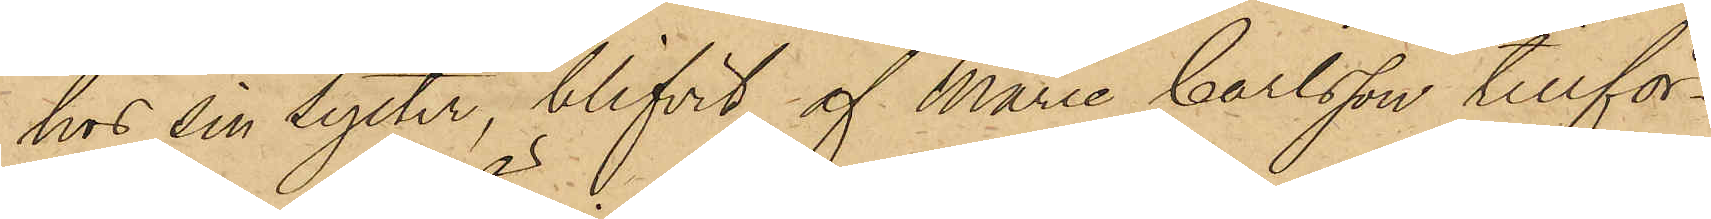hos sin Syster, blifvit af Marie Carlsson tillför¬
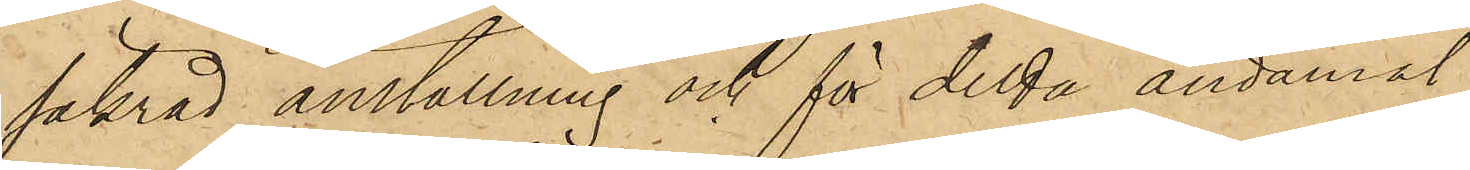säkrad anställning och för detta ändamål
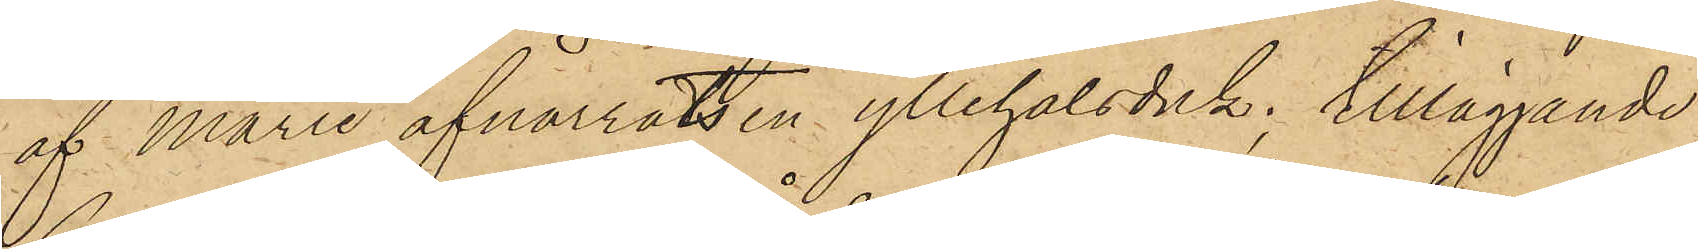af Marie afnarrats en yllehalsduk; tilläggande
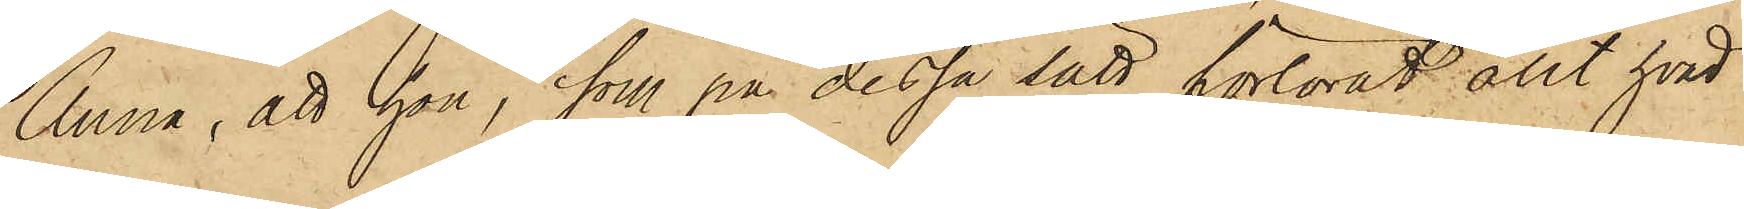Anna, att hon, som på dessa sätt förlorat allt hvad
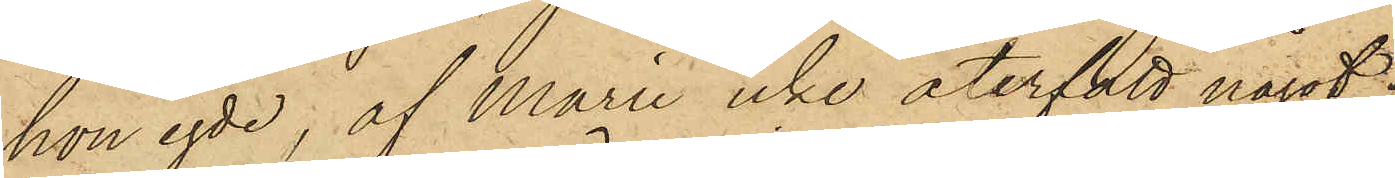hon egde, af Marie icke återfått något,
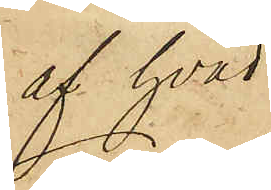af hvad
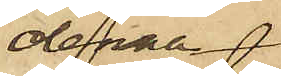denna
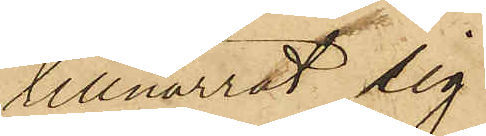tillnarrat sig
